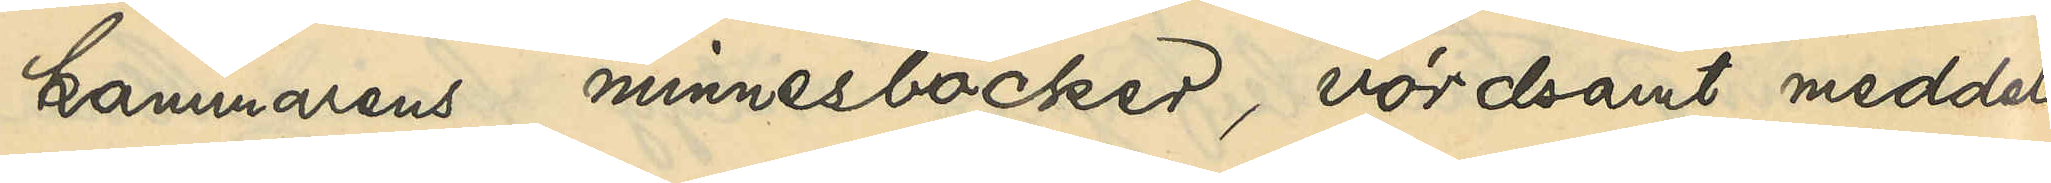kammarens minnesböcker, vördsamt meddela
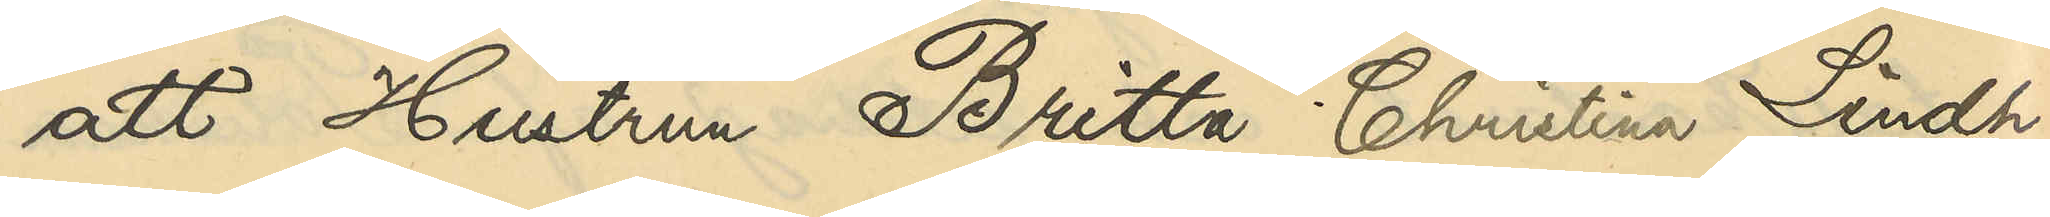att Hustrun Britta Christina Lindh,
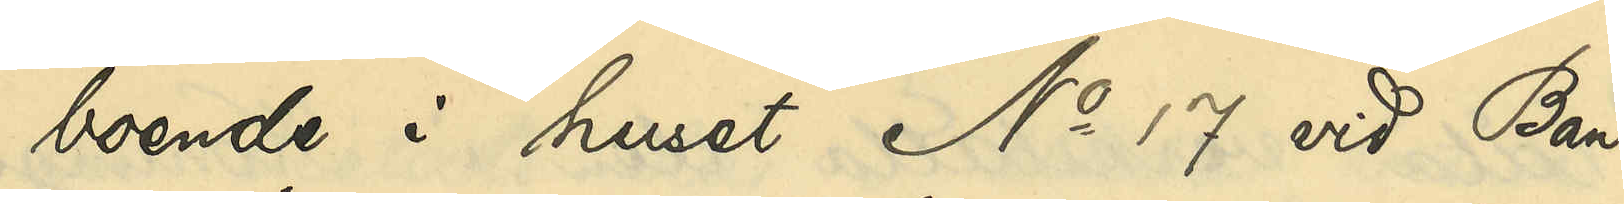boende i huset No 17 vid Ban¬
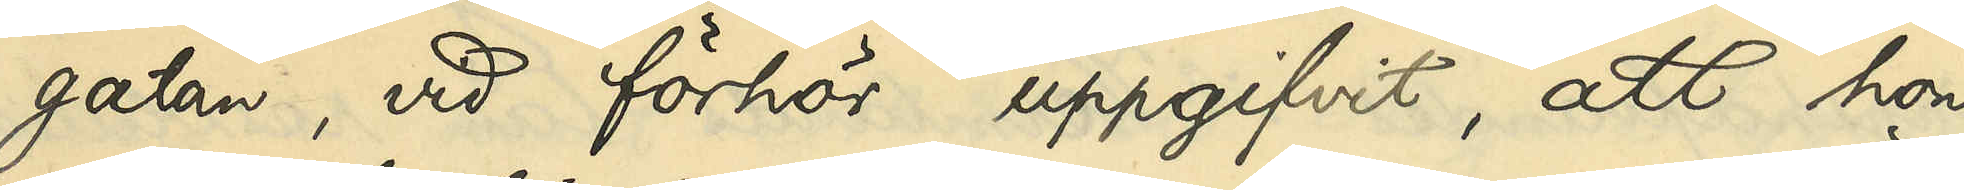gatan, vid förhör uppgifvit, att hon
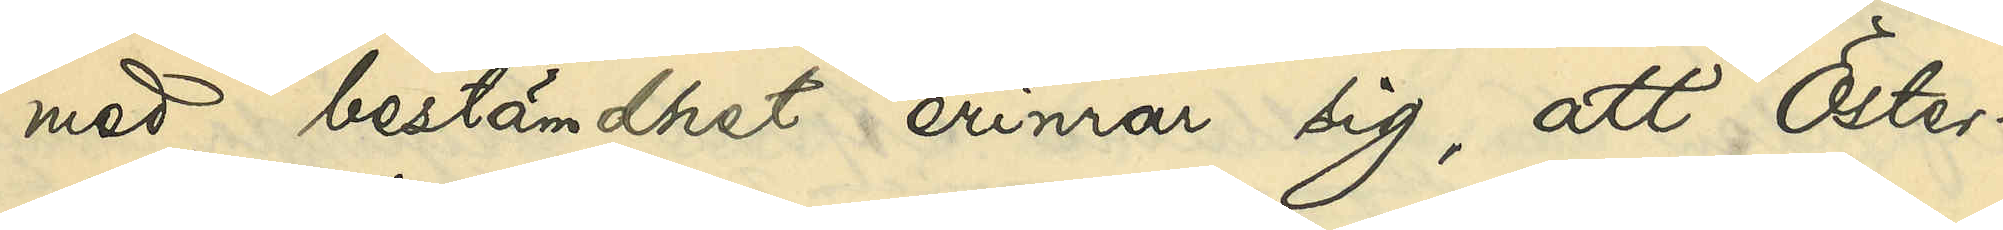med bestämdhet erinrar sig, att Öster¬
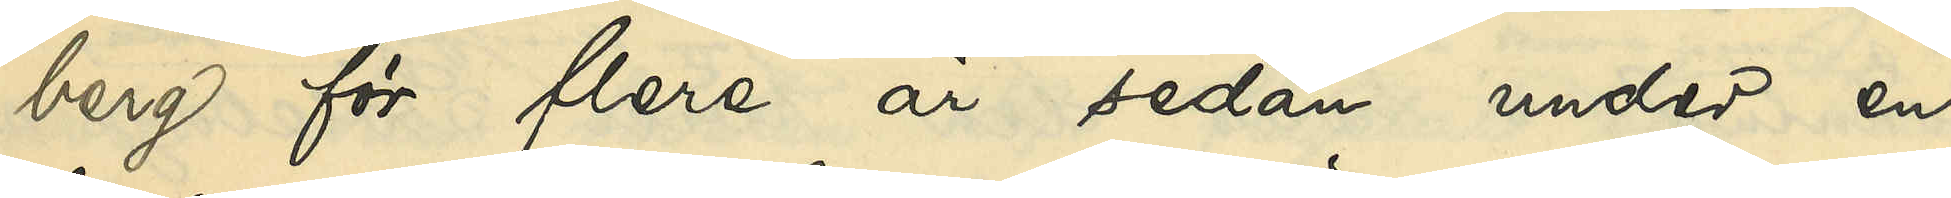berg för flera år sedan under en
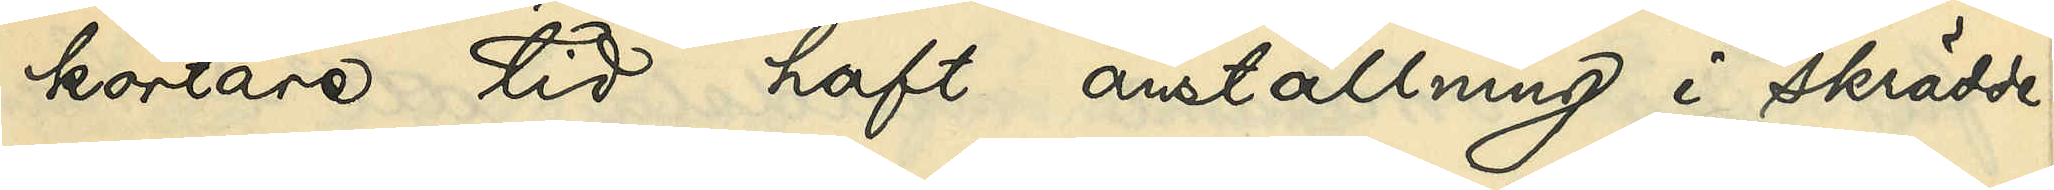kortare tid haft anställning i skrädde¬
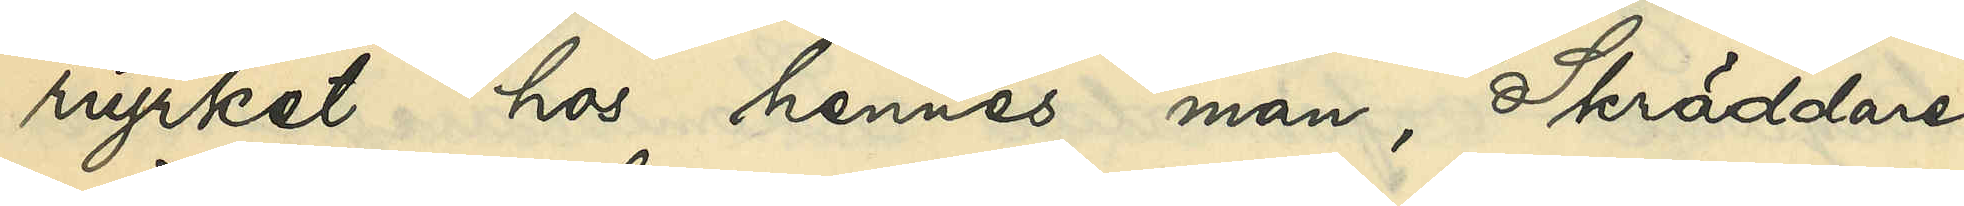riyrket hos hennes man, Skräddare¬
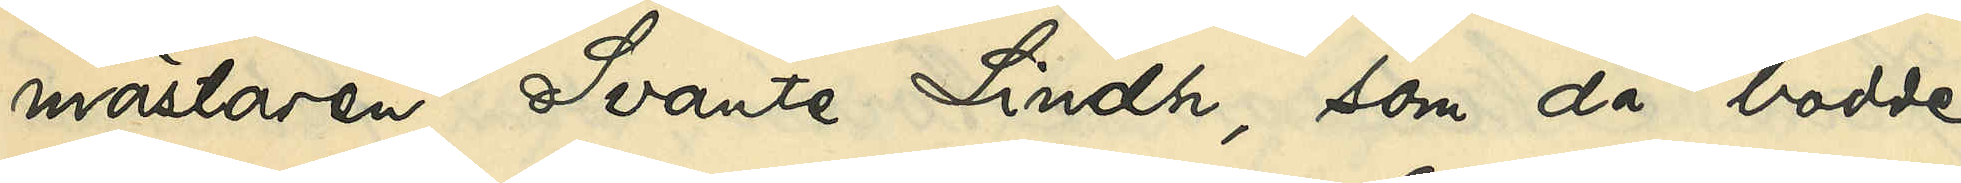mästaren Svante Lindh, som då bodde
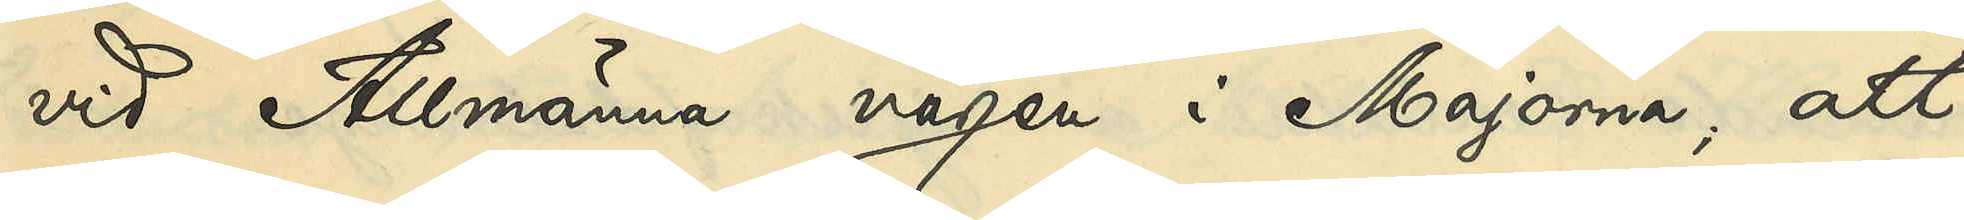vid Allmänna vägen i Majorna; att
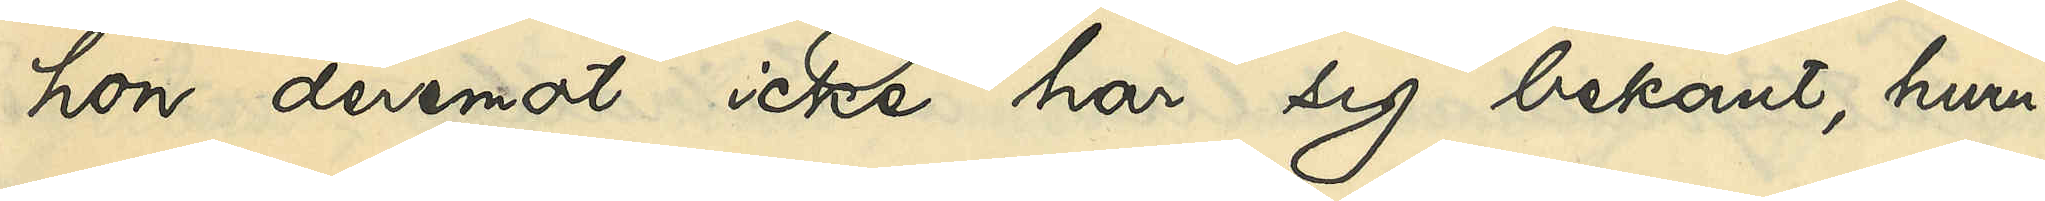hon deremot icke hade sig bekant, huru¬
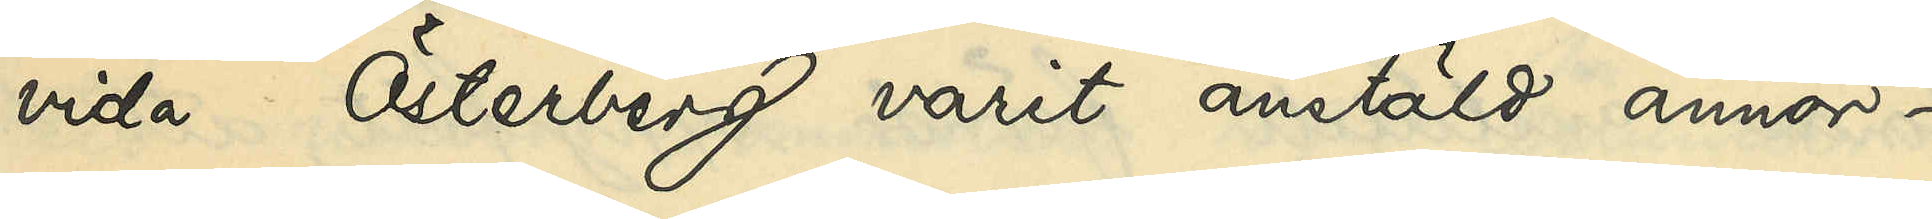vida Österberg varit anstäld annor¬
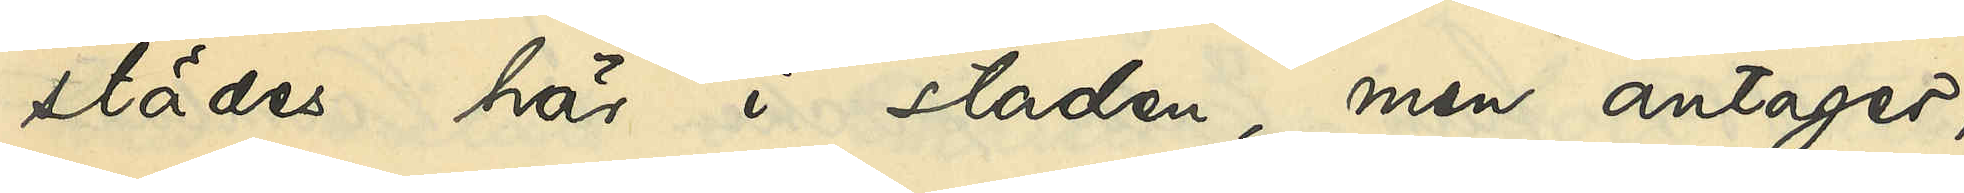städes här i staden, men antager,
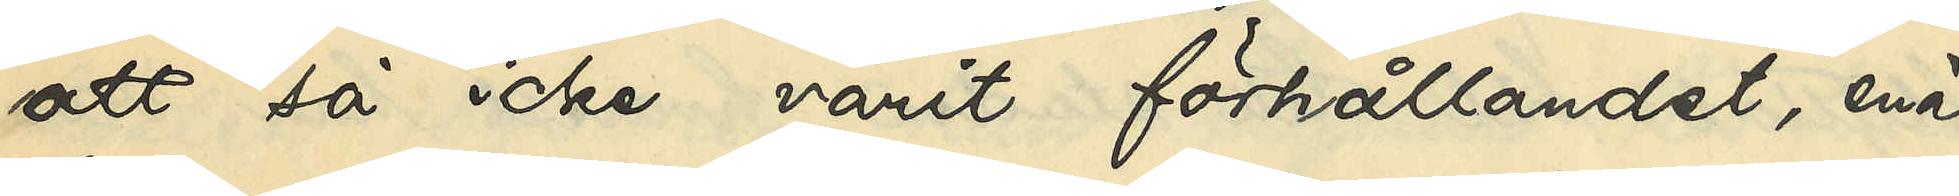att så icke varit förhållandet, enär
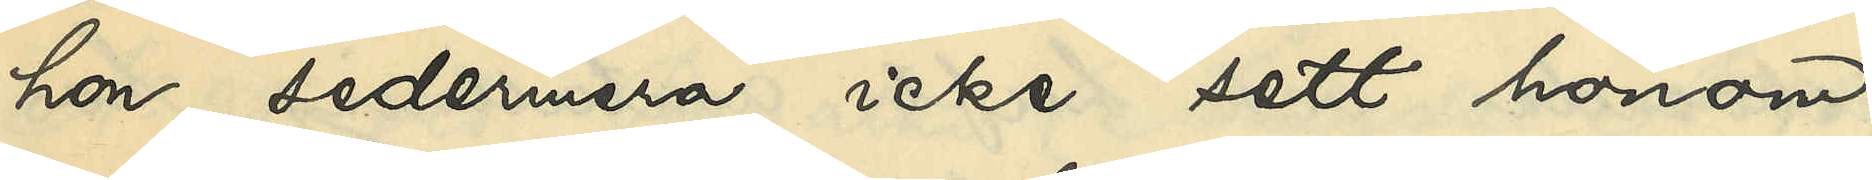hon sedermera icke sett honom.
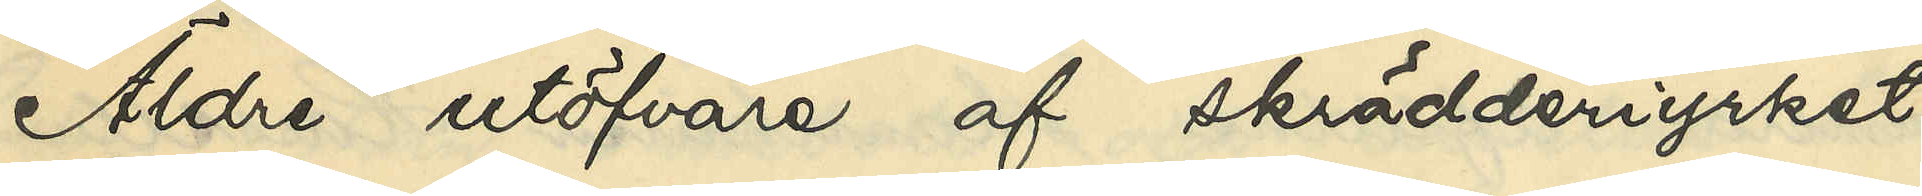Äldre utöfvare af skrädderiyrket
